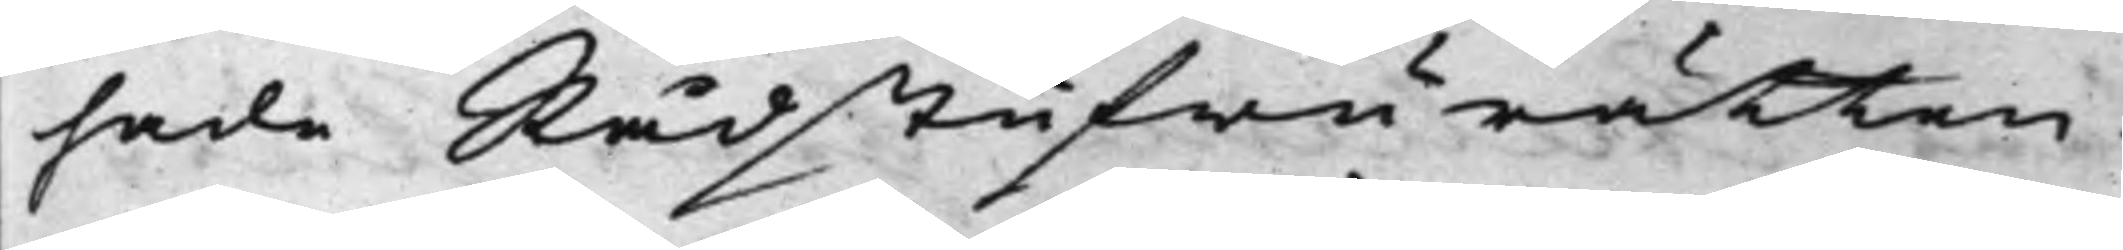hade Rådstufwurätten
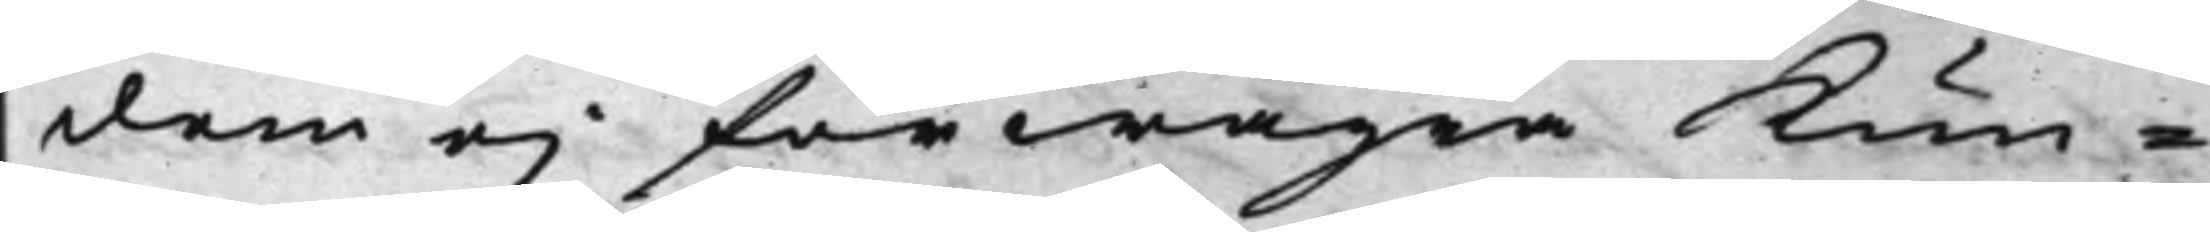dem ej förwägra Kun¬
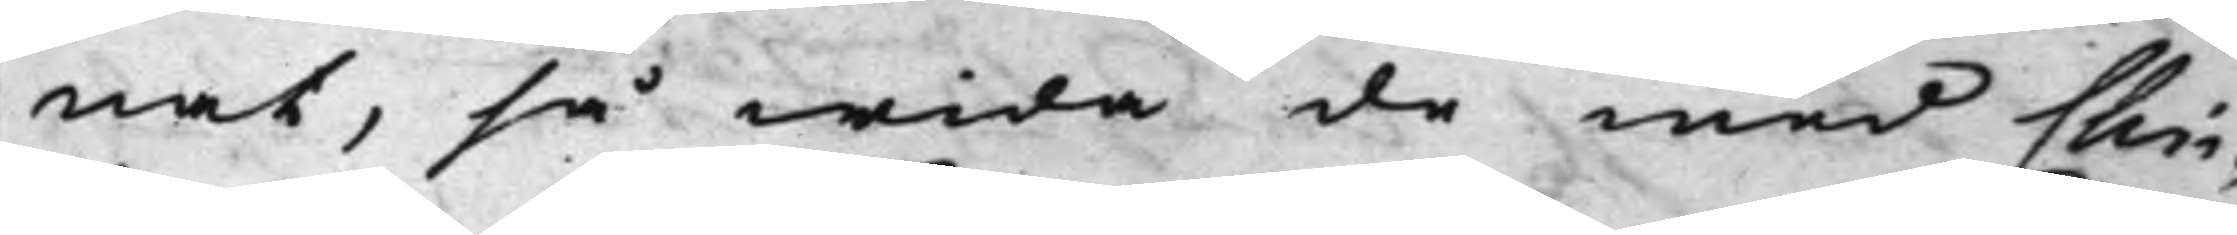nat, så wida de med Chri¬
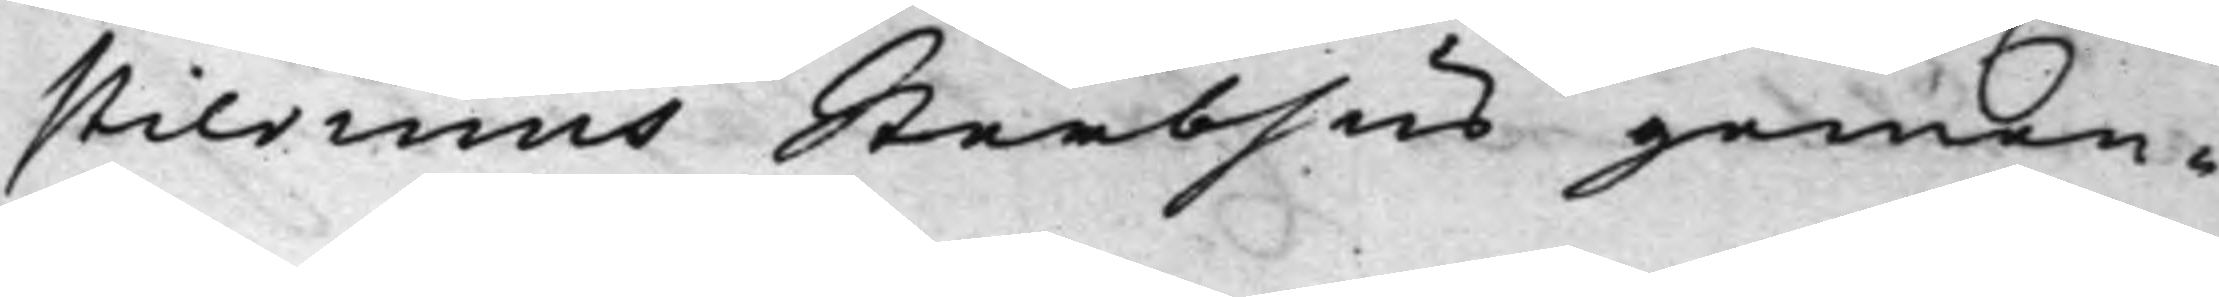stiernins Sterbhus gemen¬
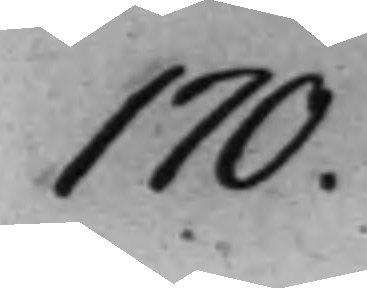170.
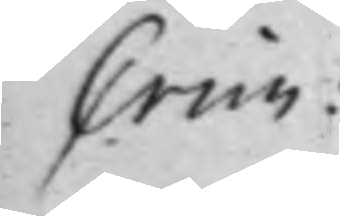Crim:
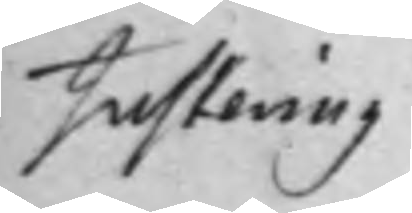Justering
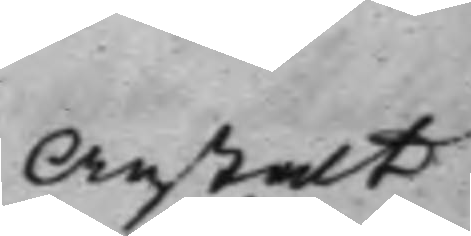Anstalt
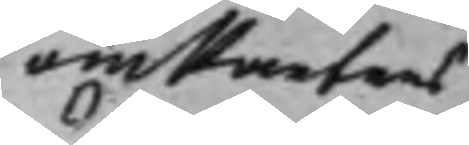om Parters
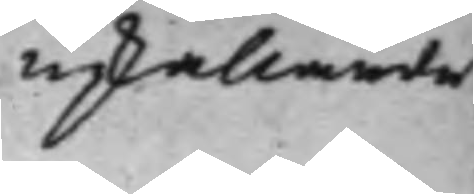upkallande
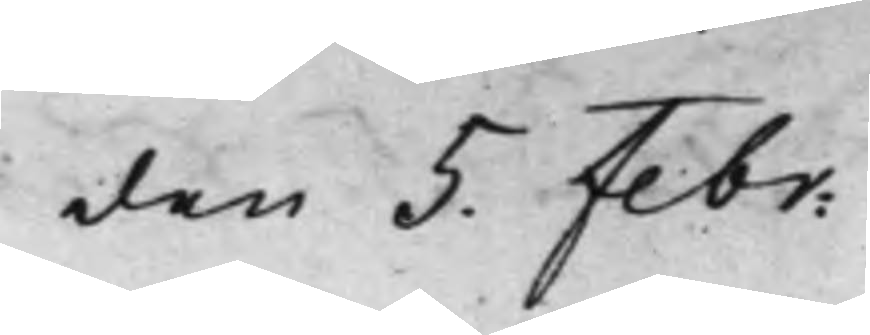den 5. Febr:
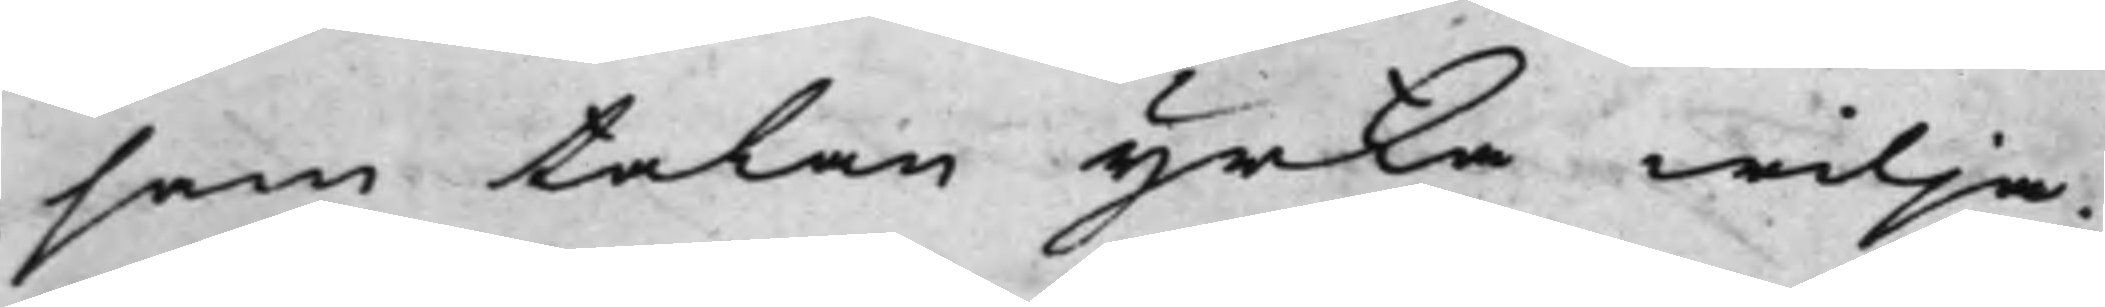sam talan yrka wilja.
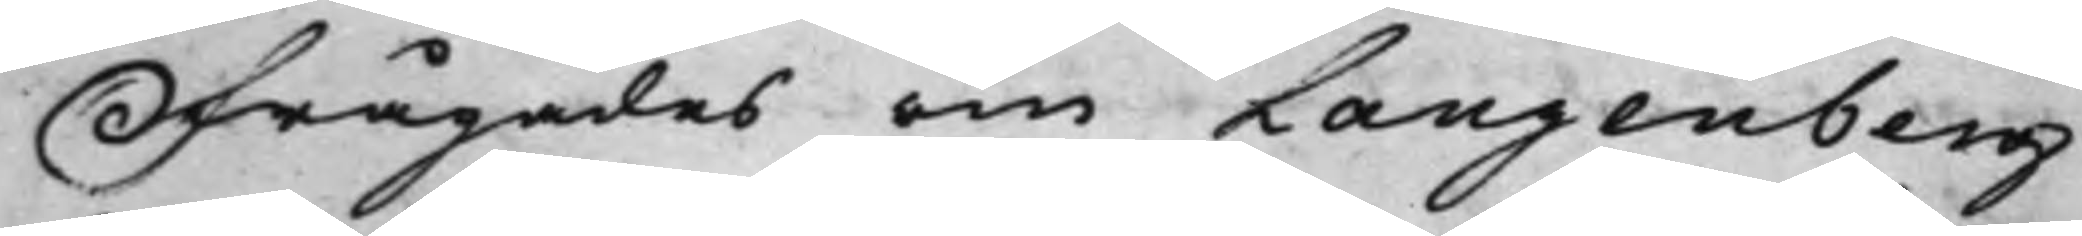Frågades om Langenberg
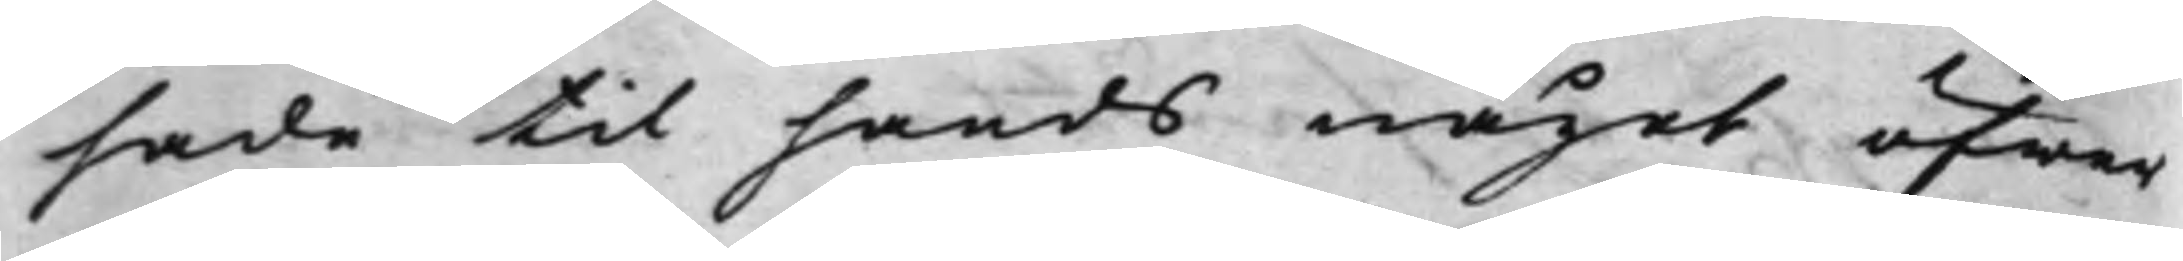hade til hands något öfwer
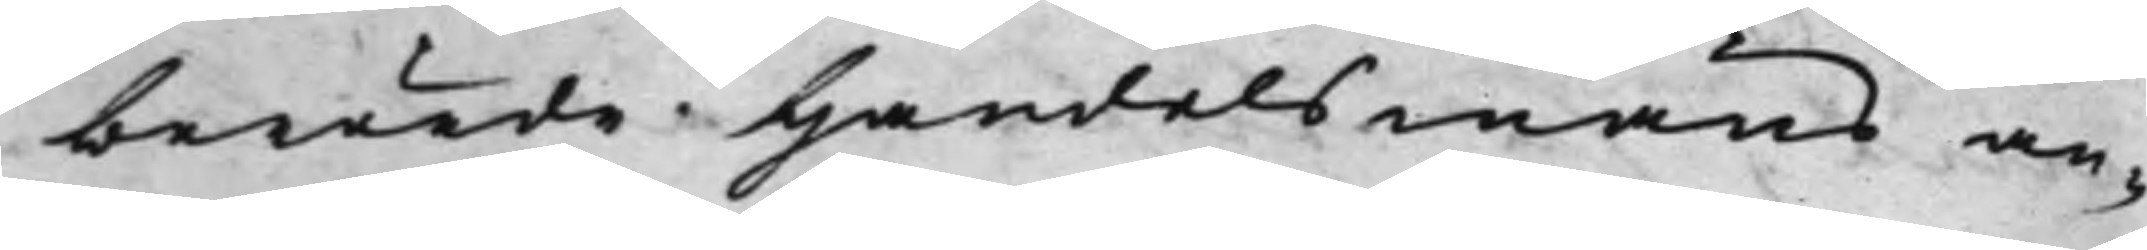berörde Handelsmäns an¬
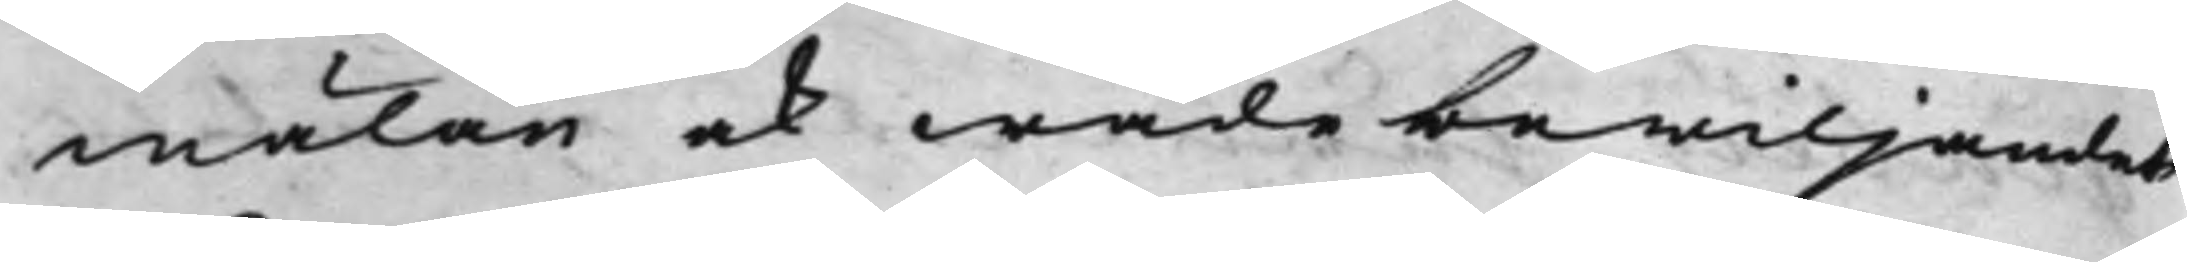mälan ock wadebewiljandets
